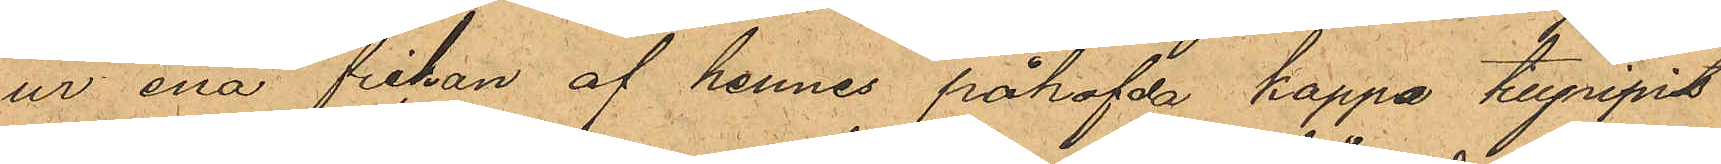ur ena fickan af hennes påhafda kappa tillgripits
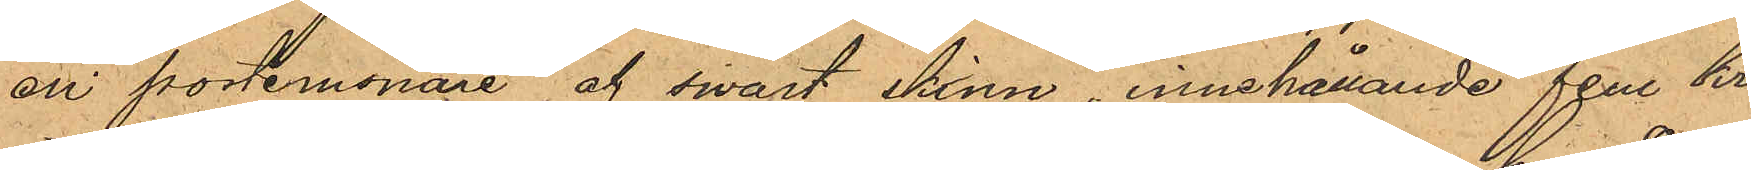en portemonaie af swart skinn, innehållande fem kr.
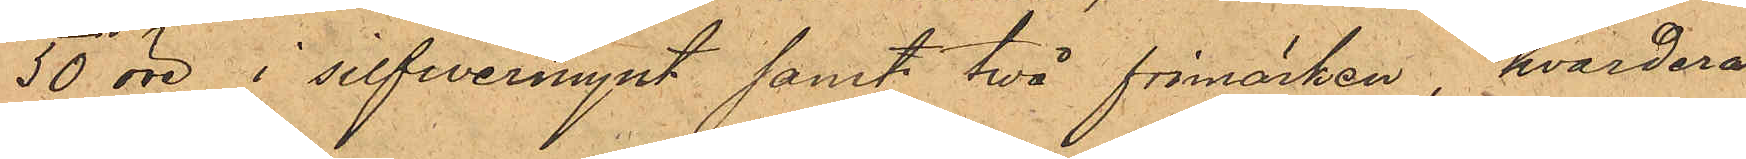30 öre i silfwermynt samt två frimärken, hvardera
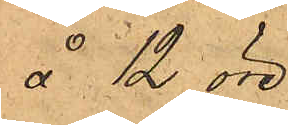å 12 öre.
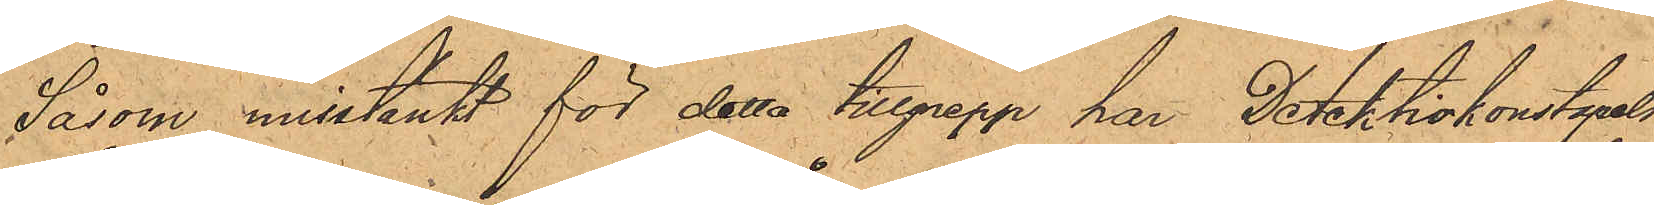Såsom misstänkt för detta tillgrepp har Detektivkonstapeln
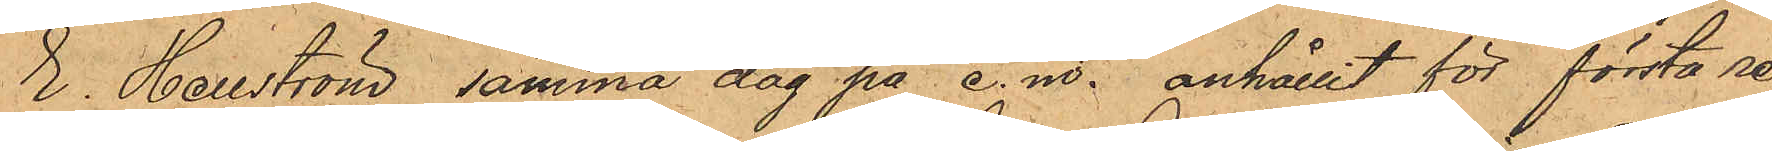E. Hellström samma dag på e. m. anhållit för första re¬
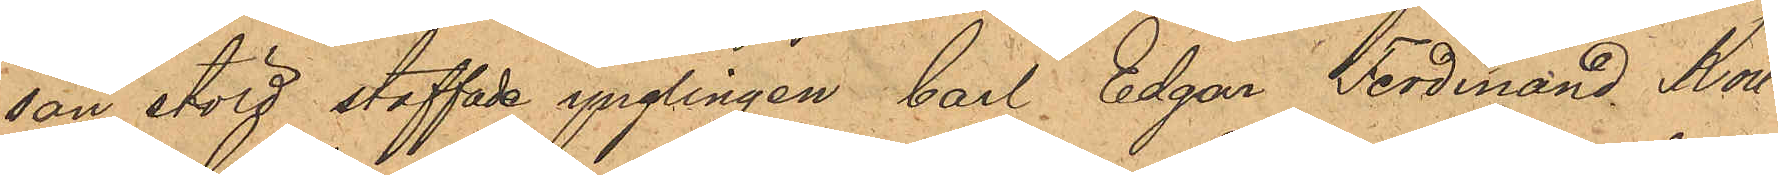san stöld staffade ynglingen Carl Edgar Ferdinand Koll¬
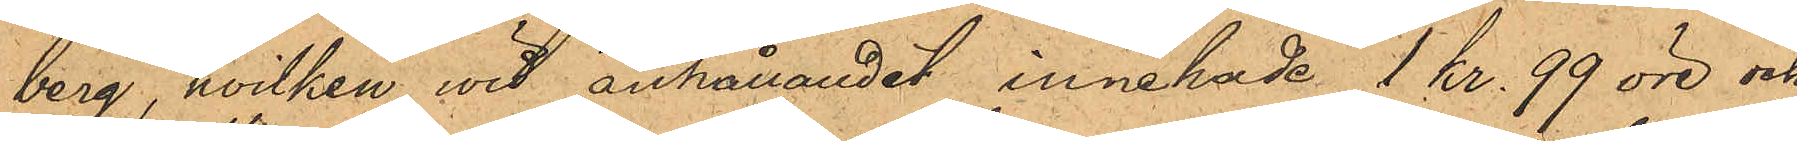berg, hvilken wid anhållandet innehade 1 kr. 99 öre och
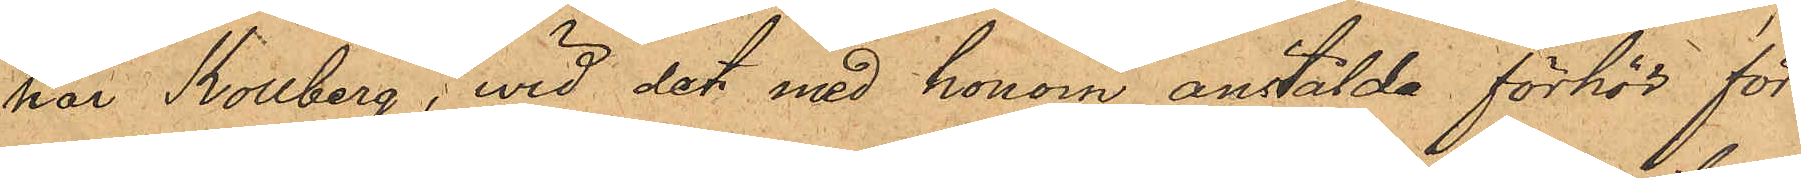har Kollberg, wid det med honom anstälda förhör för¬
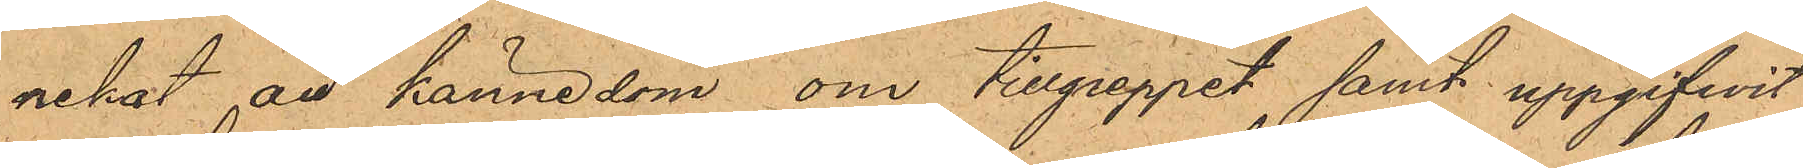nekat all kännedom om tillgreppet samt uppgifwit
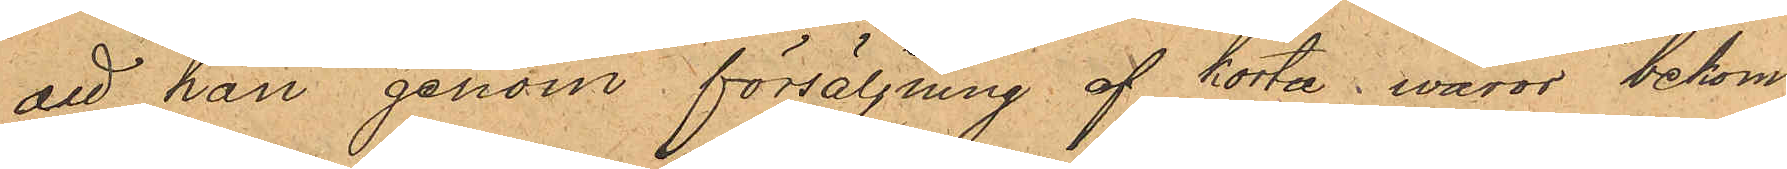att han genom försäljning af korta waror bekom¬
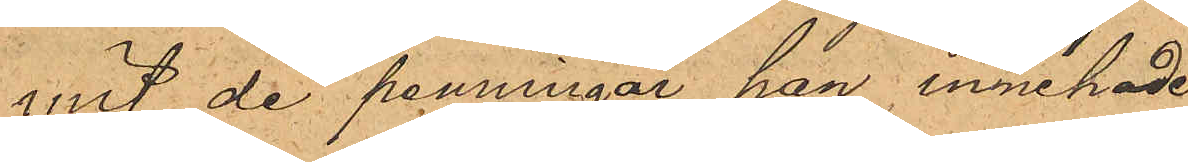mit de penningar han innehade.
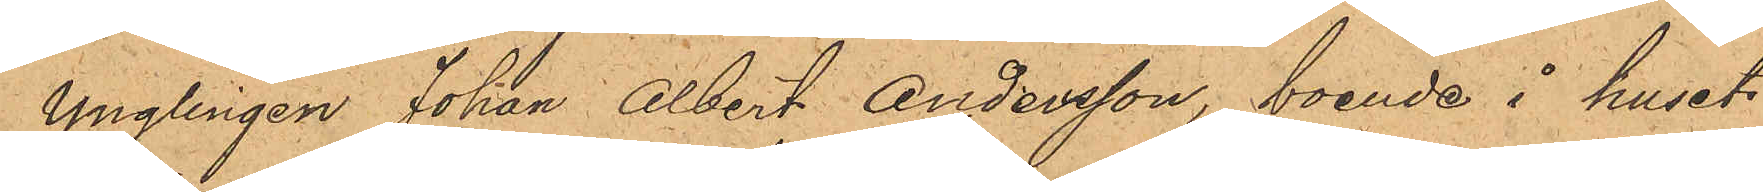Ynglingen Johan Albert Andersson, boende i huset
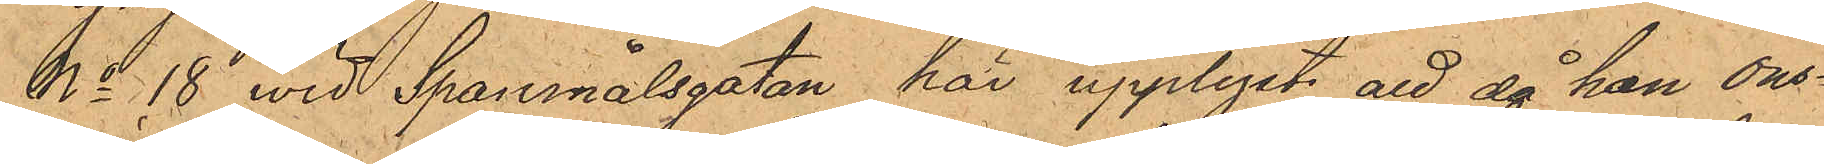No 18 wid Spannmålsgatan har upplyst att då han ons¬
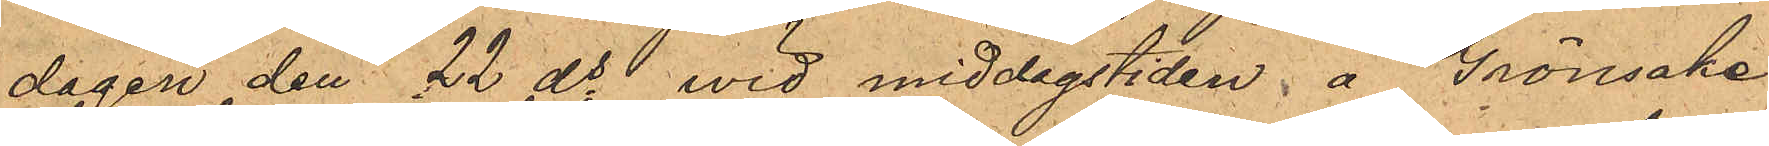dagen den 22 ds wid middagstiden å Grönsake¬
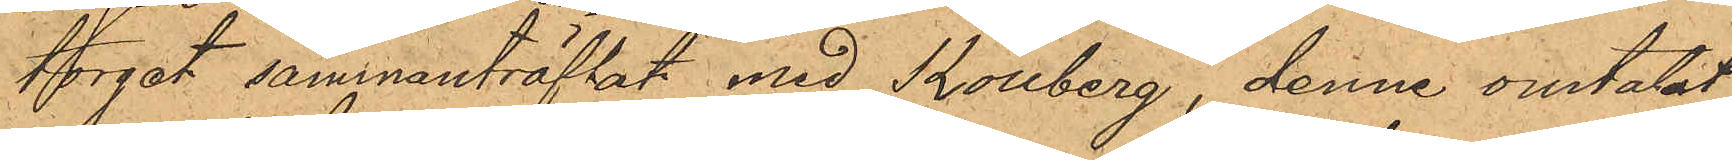torget sammanträffat med Kollberg, denne omtalat
